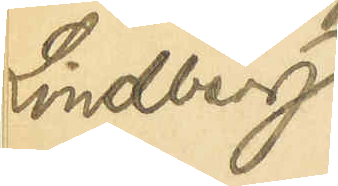Lindberg
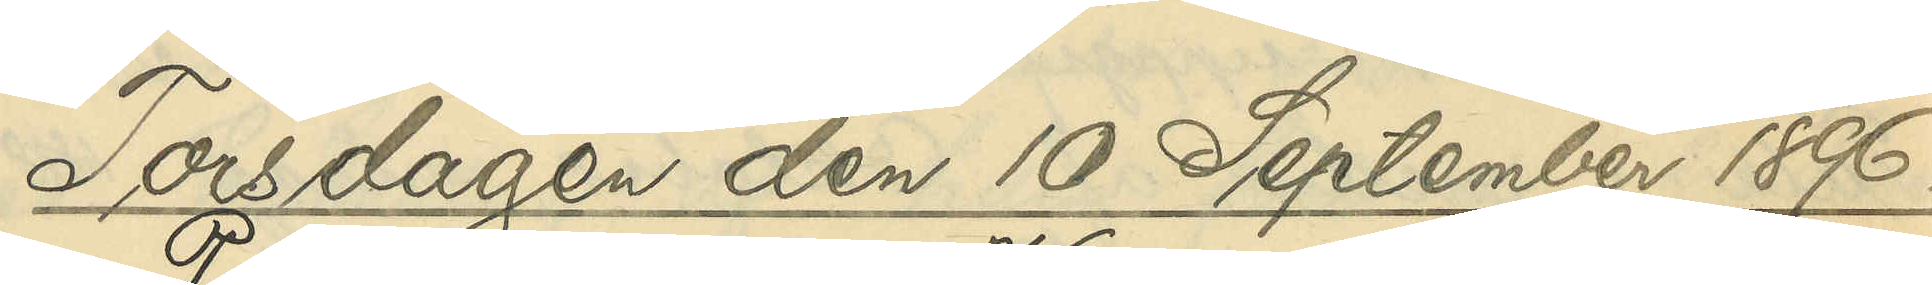Torsdagen den 10 September 1896.
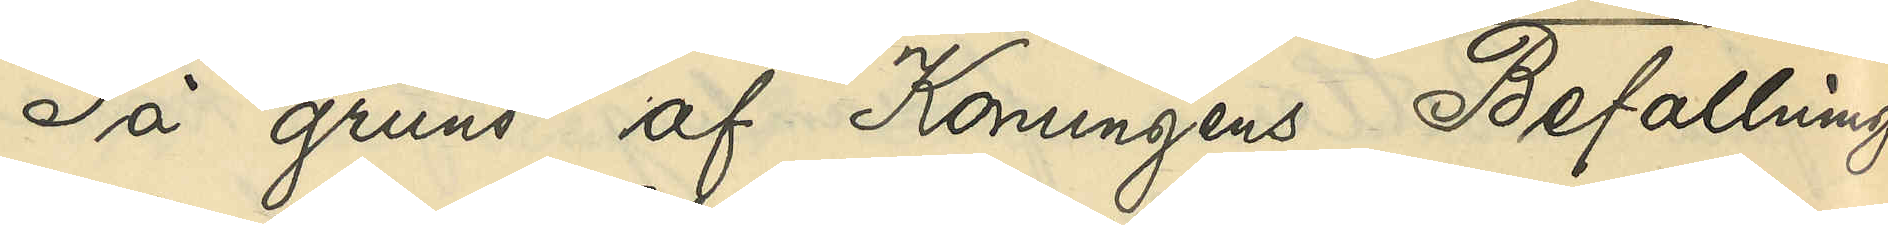På grund af Konungens Befallnings¬
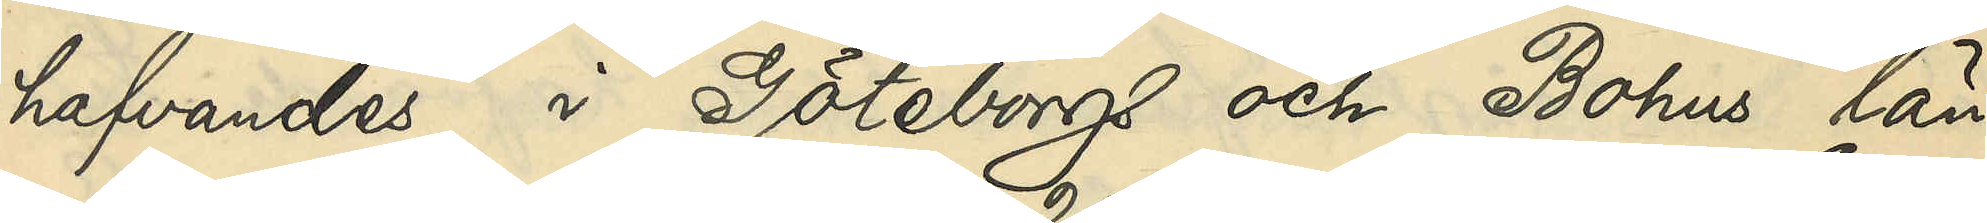hafvandes i Göteborgs och Bohus län
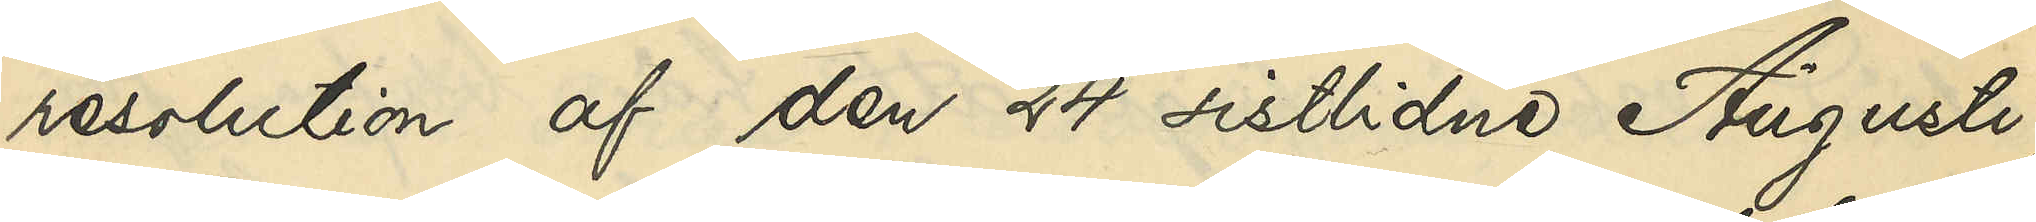resolution af den 24 sistlidne Augusti,
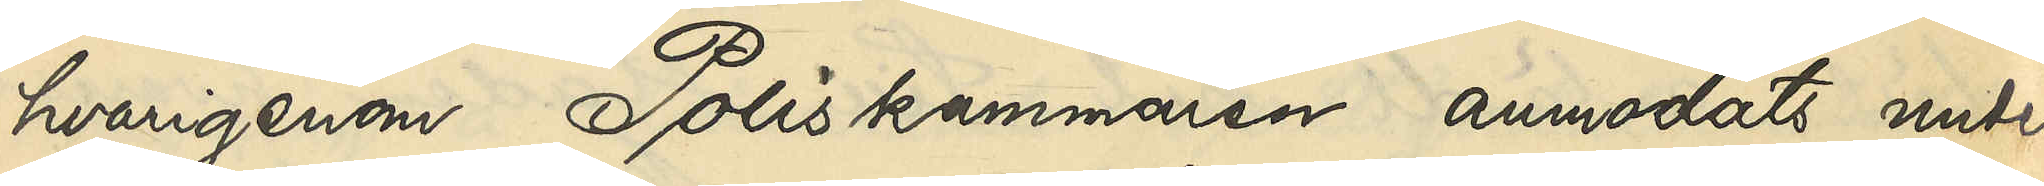hvarigenom Poliskammaren anmodats under¬
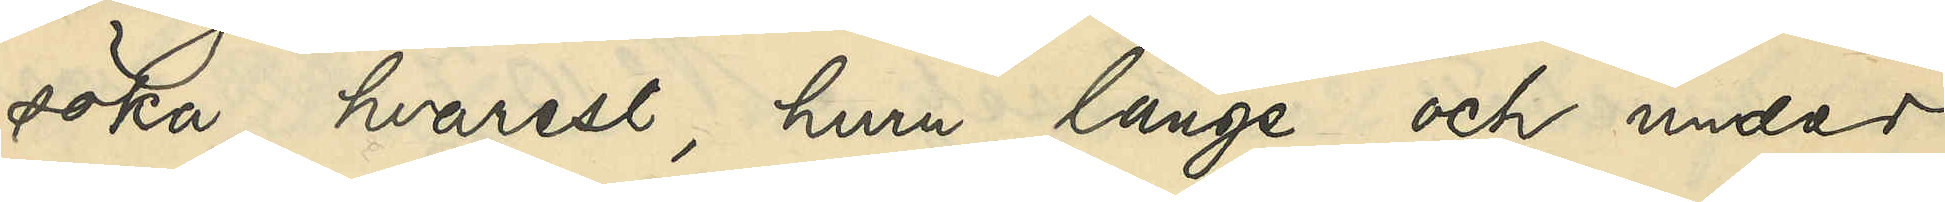söka, hvarest, huru länge och under
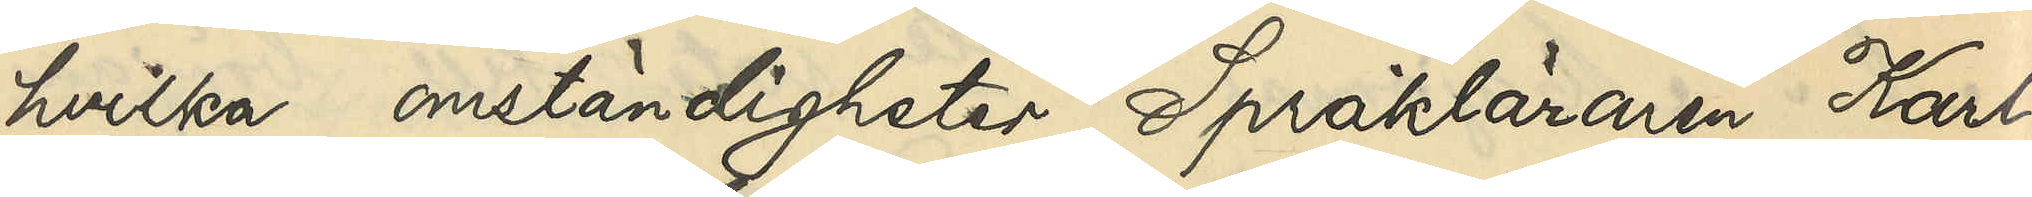hvilka omständigheter Språkläraren Karl
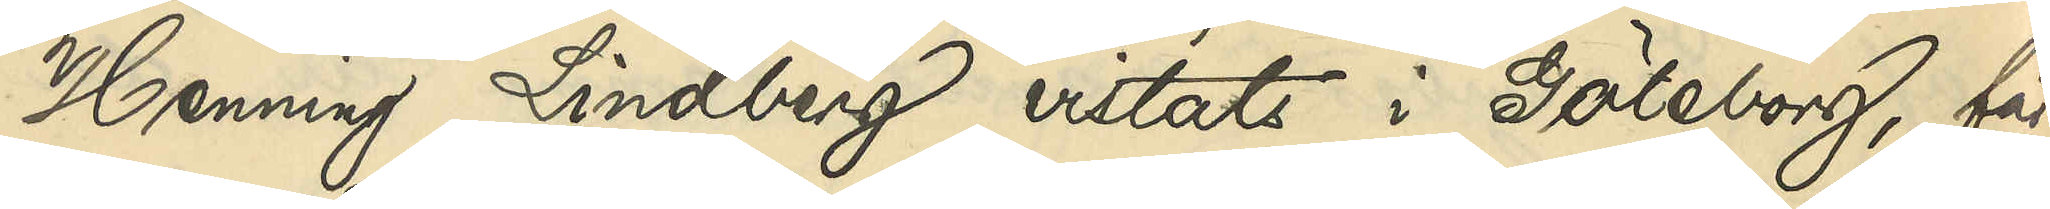Henning Lindberg vistats i Göteborg, får
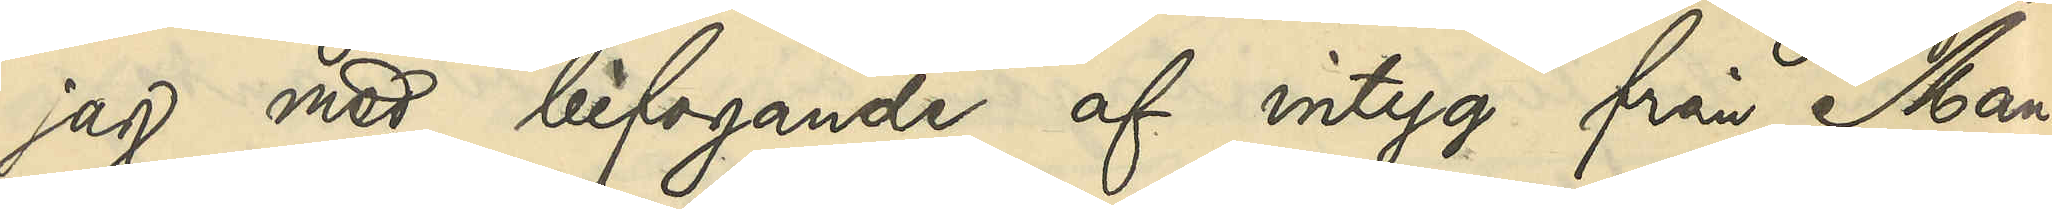jag med bifogande af intyg från Man¬
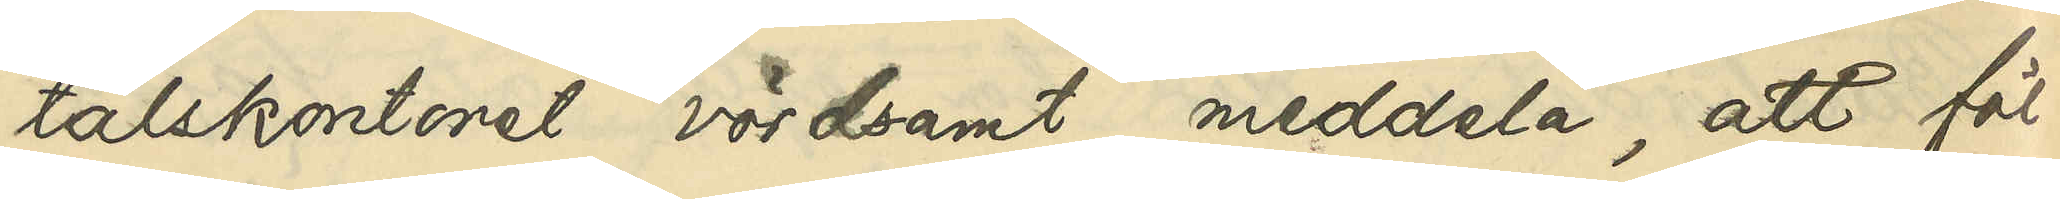talskontoret vördsamt meddela, att föl¬
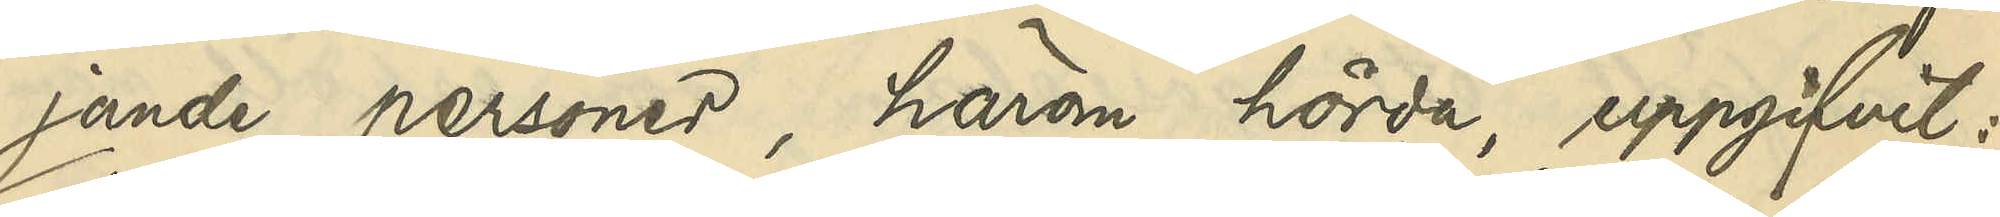jande personer, härom hörda, uppgifvit:
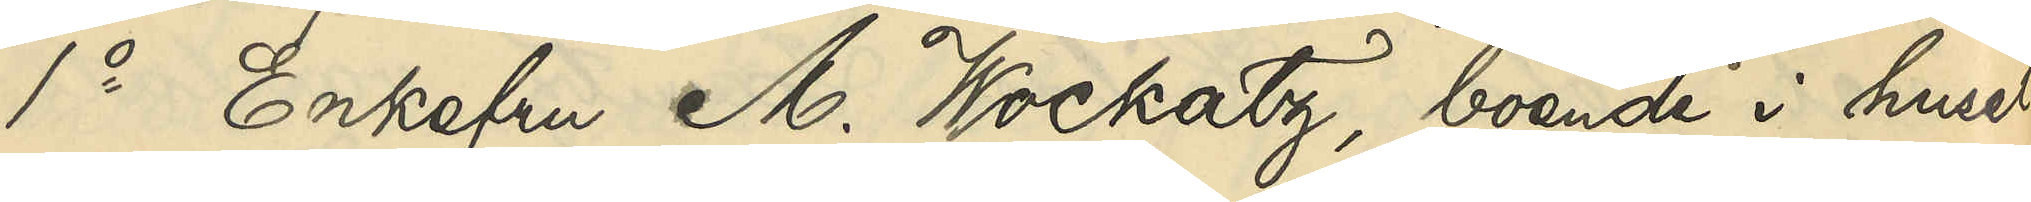1o Enkefru M. Wockatz, boende i huset
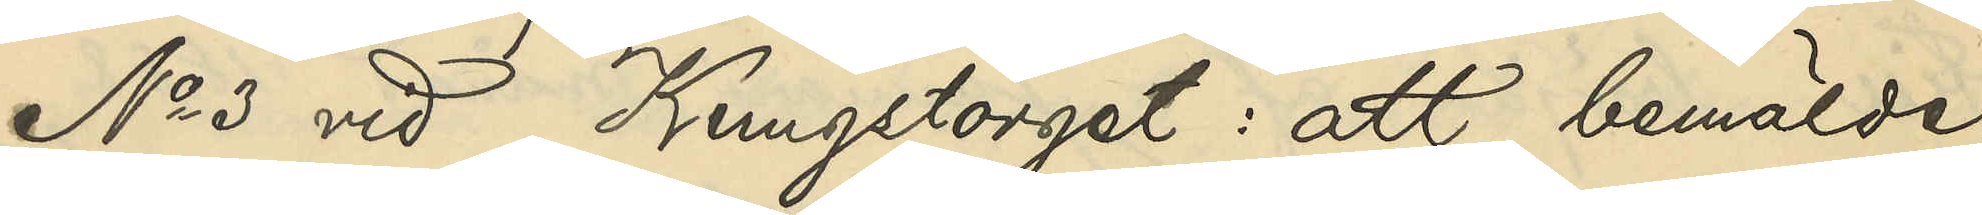No 3 vid Kungstorget: att bemälde
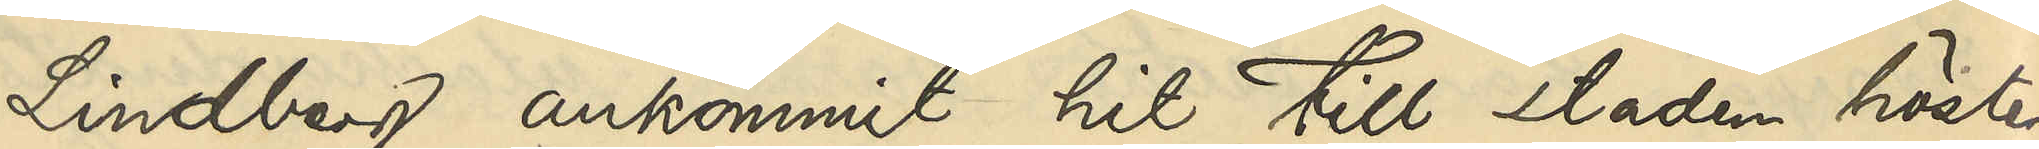Lindberg ankommit hit till staden hösten
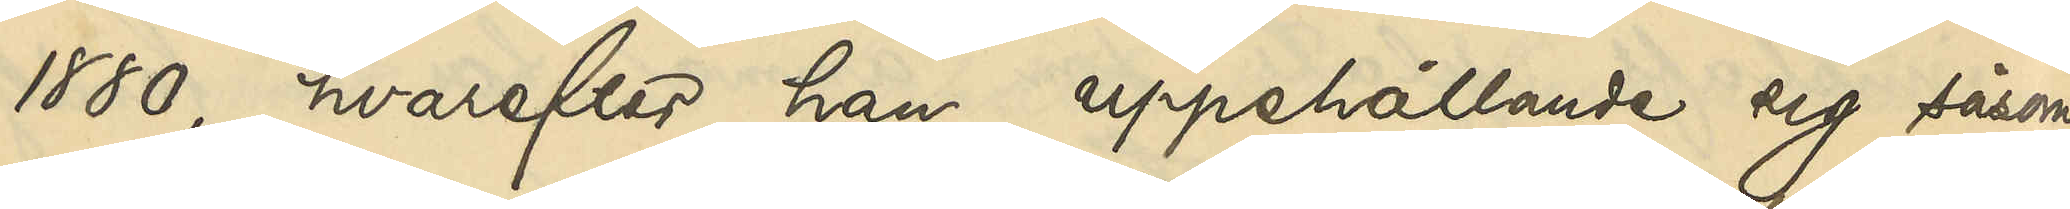1880, hvarefter han, uppehållande sig såsom
